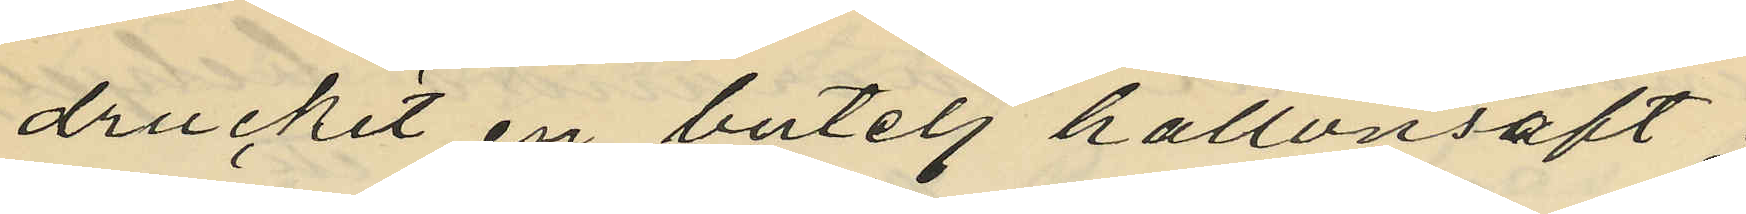druckit en butelj hallonsaft
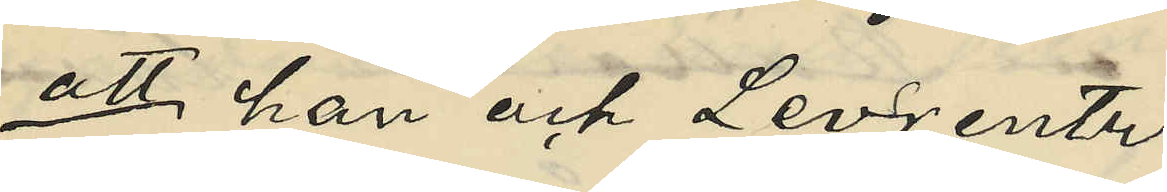att han och Levrentz
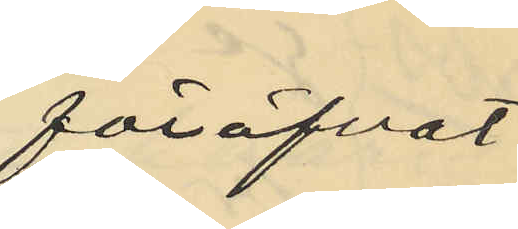föröfvat
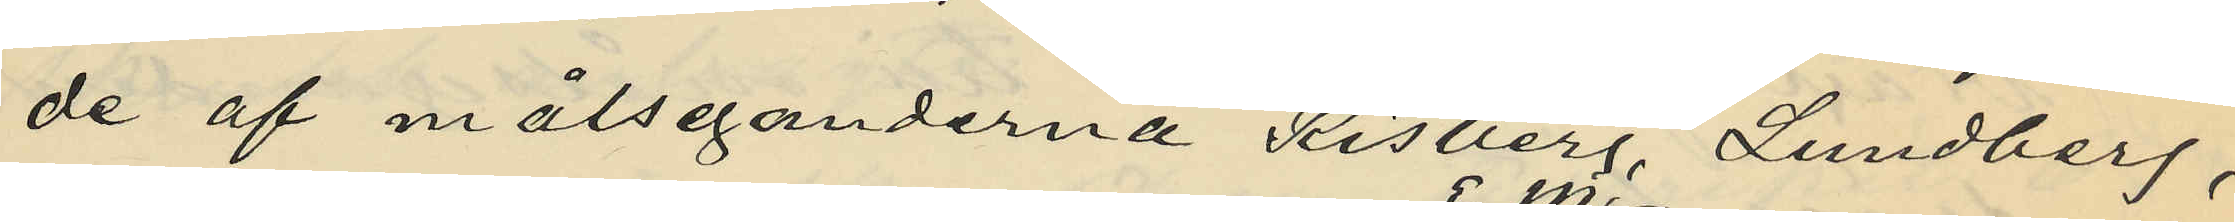de af målseganderna Risberg, Lundberg,
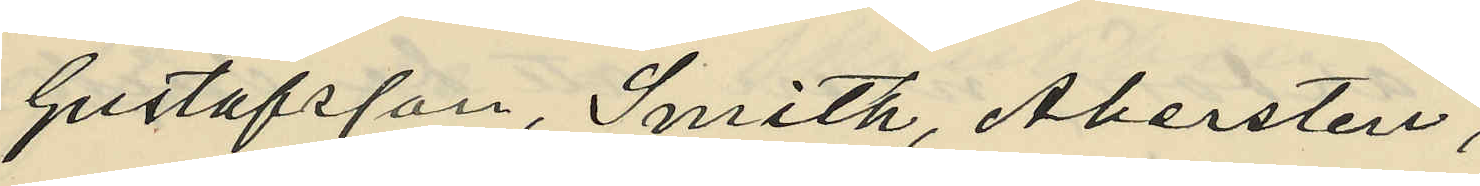Gustafsson, Smith, Abersten,
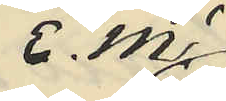E. M.
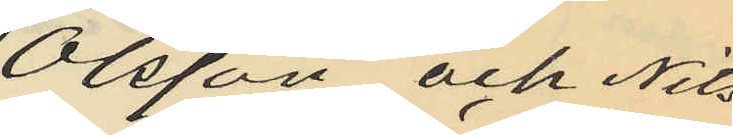Olsson och Nils¬
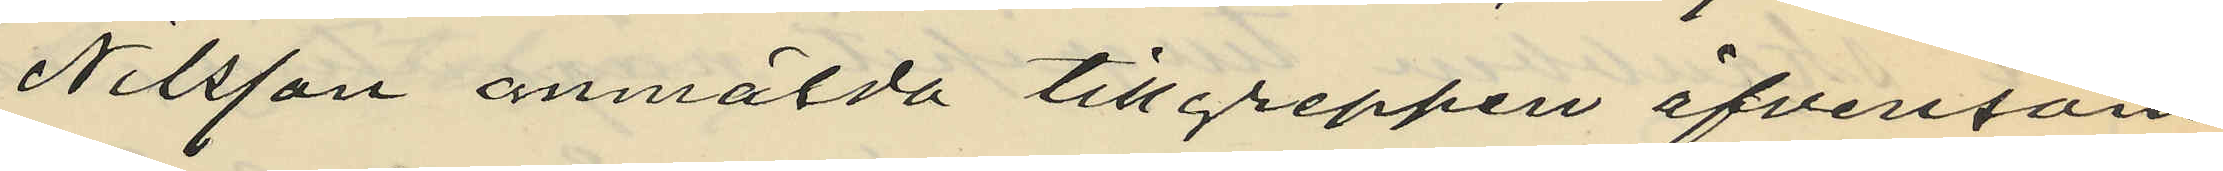Nilsson anmälda tillgreppen äfvensom
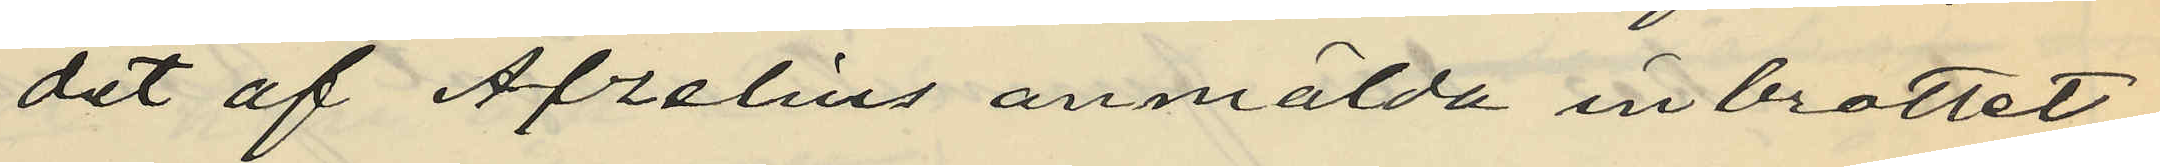det af Afzelius anmälda inbrottet
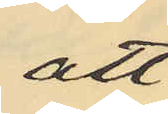att
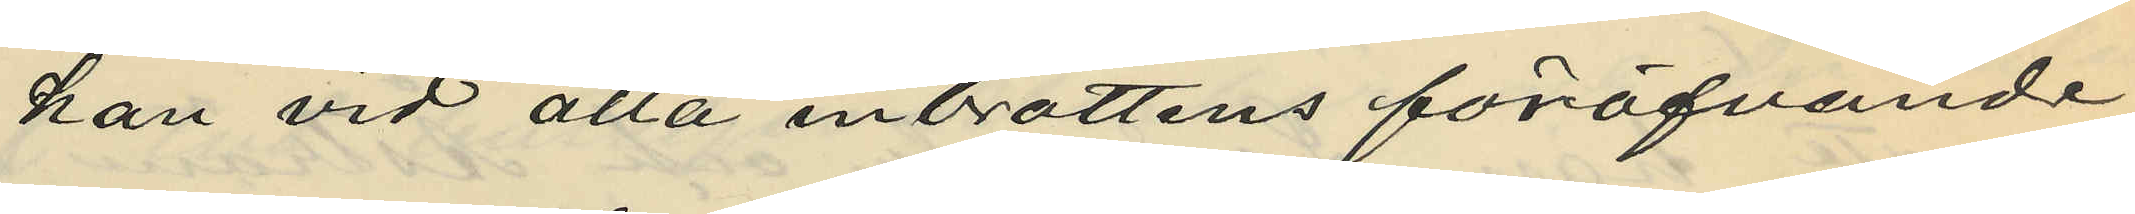han vid alla inbrottens föröfvande
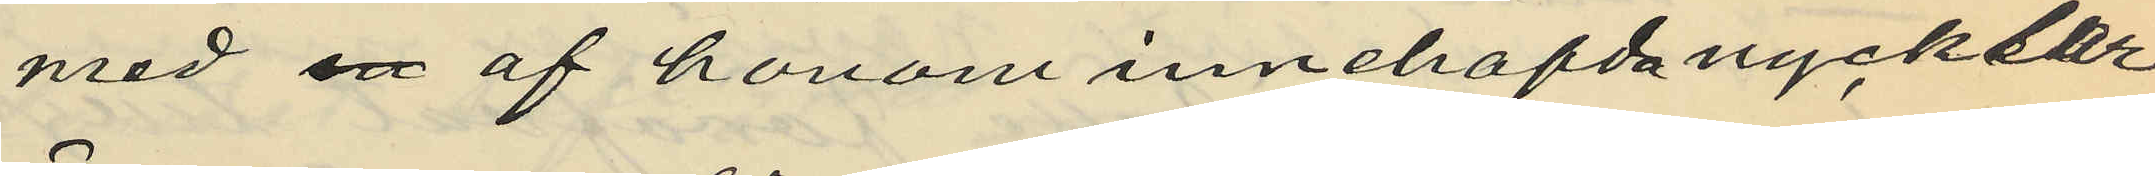med en af honom innehafda nycklar
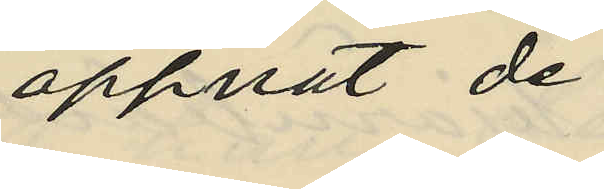öppnat de
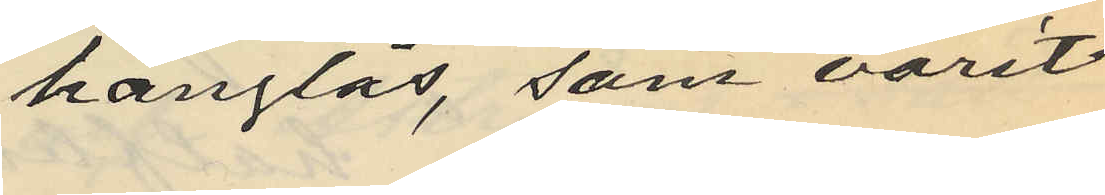hänglås, som varit
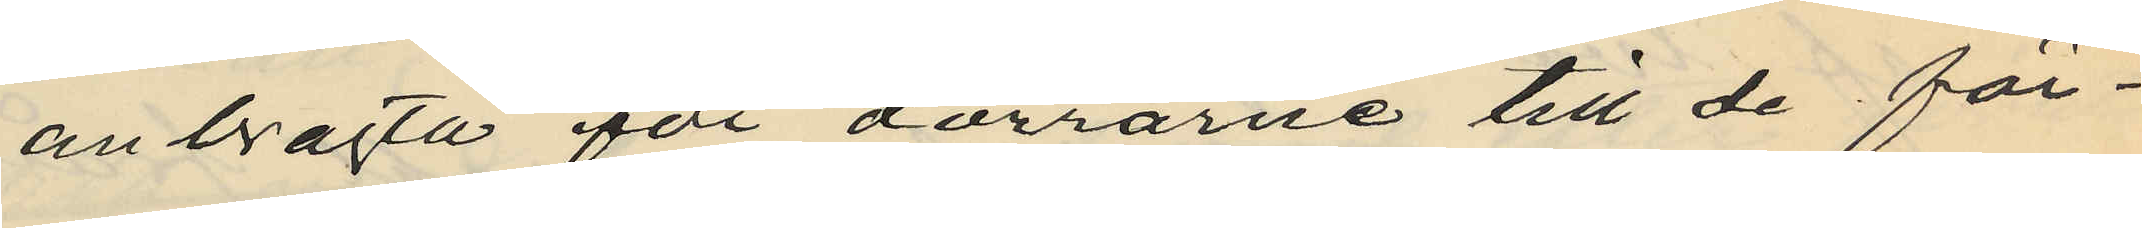anbragta för dörrarne till de för¬
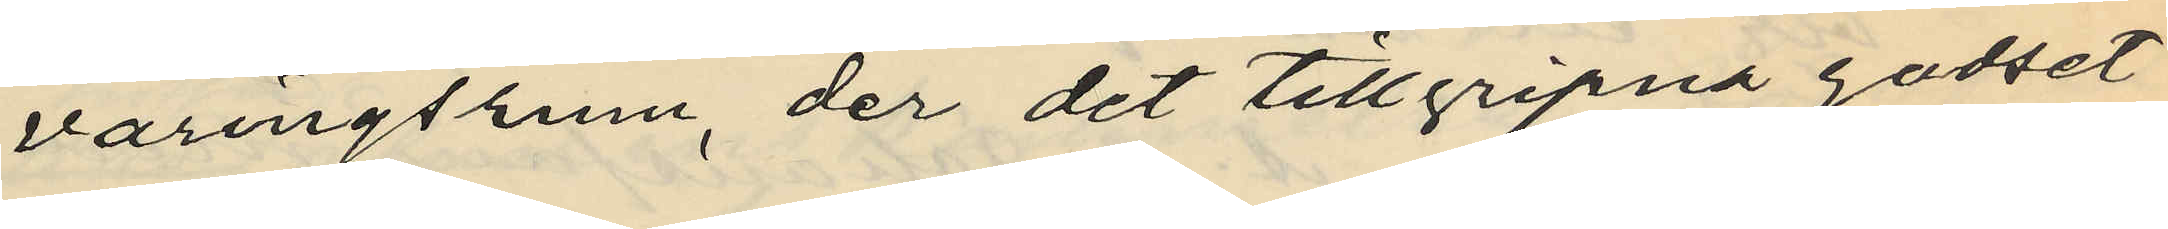varingsrum, der det tillgripna godset
